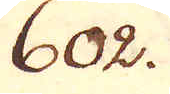602.
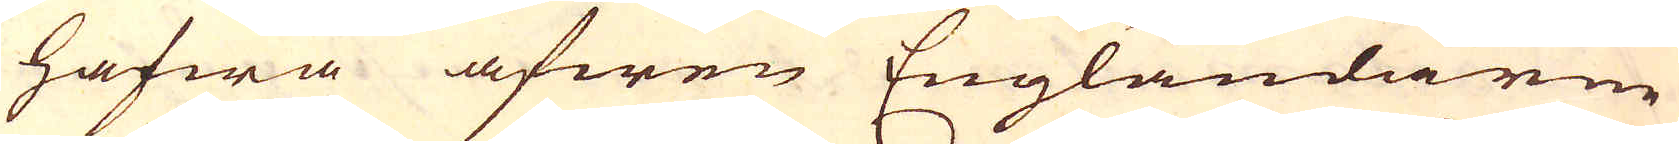hafwa äfwen Engländarne
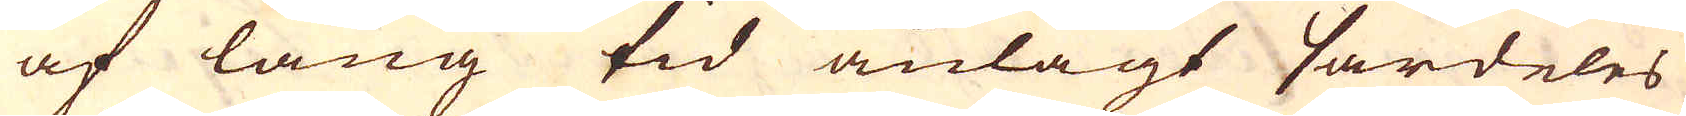af lång tid anlagt särdeles
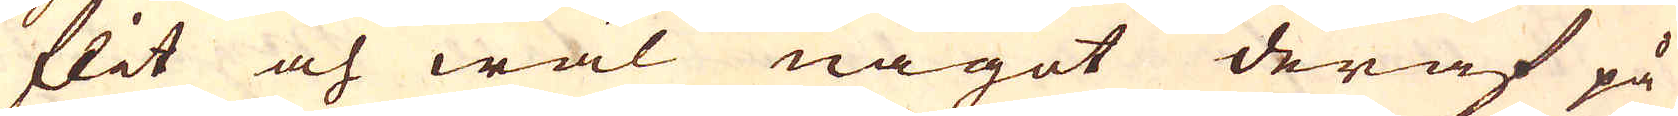flit och wäl något deraf på
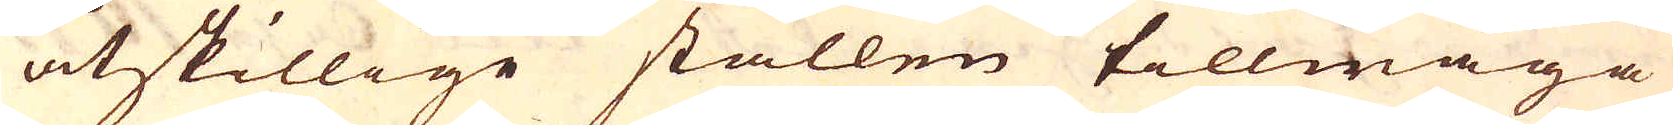åtskillige ställen tillwäga
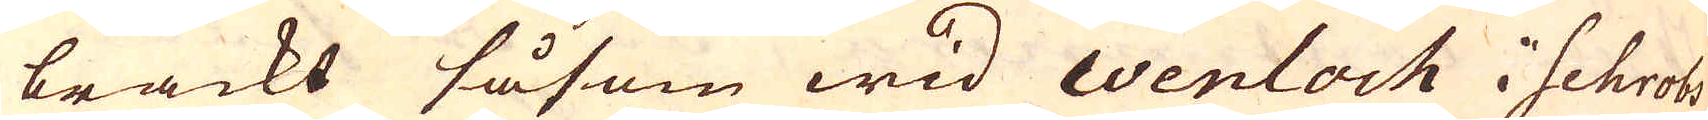brackt såsom wid Wenloch i Schrobs-
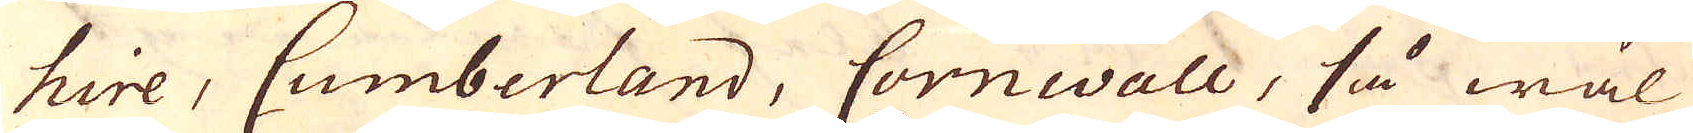hire, Cumberland, Cornwall, så wäl
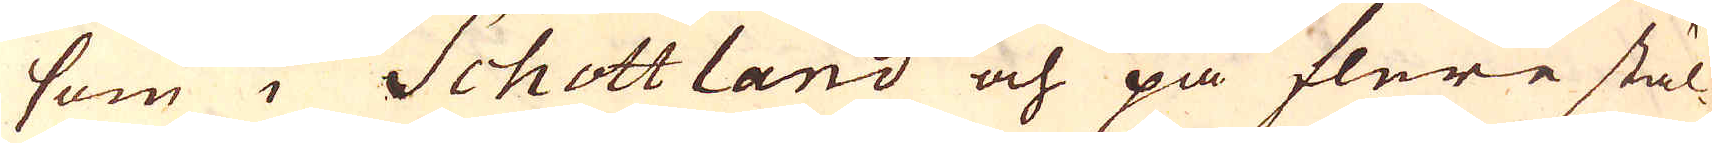som i Schottland och på flere stäl-
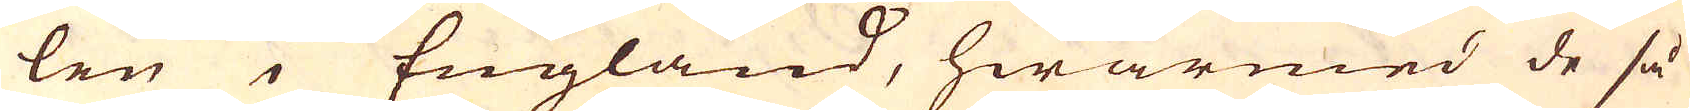len i England, hwarmed de så
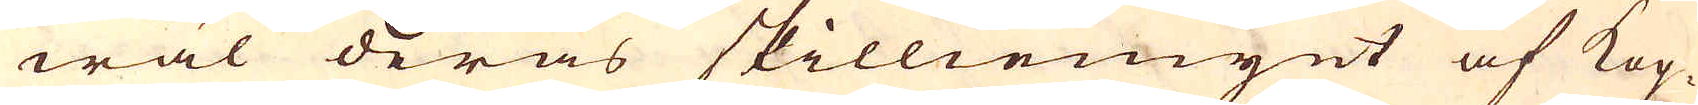wäl deras skilliemynt af Kop-
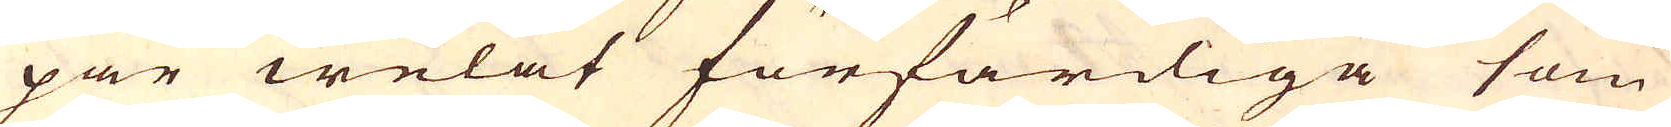par welat förfärdiga som
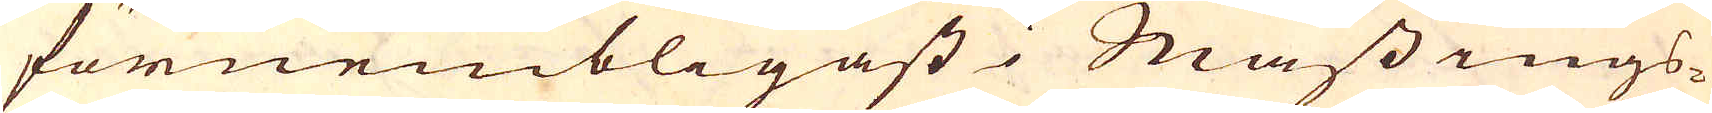förnembligast i Mässings-
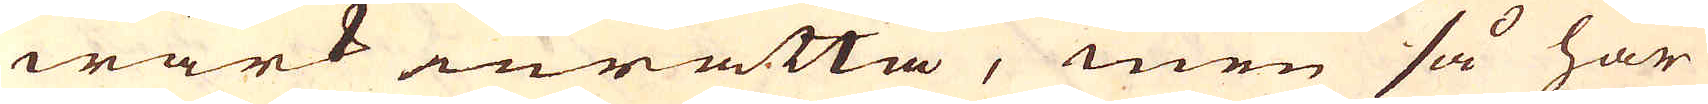wärk inrätta, men så har
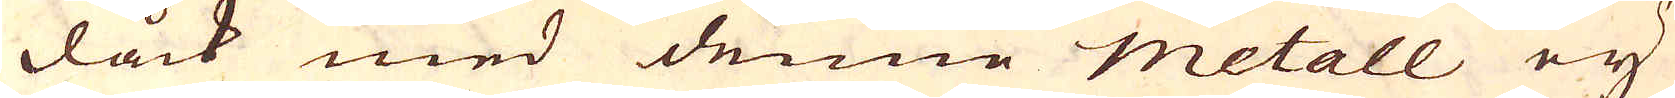dåck med denne metall ey
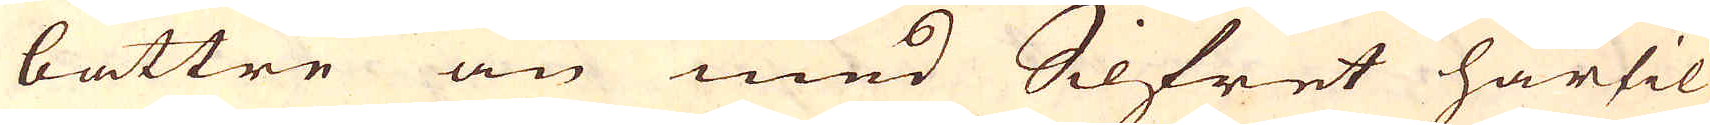bättre än med Silfret härtil
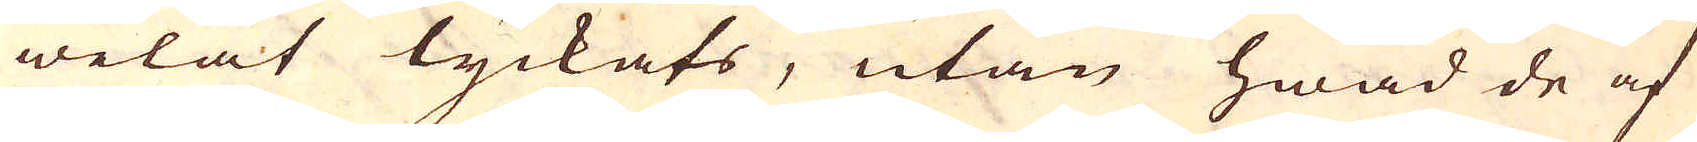welat lyckats, utan hwad de af
